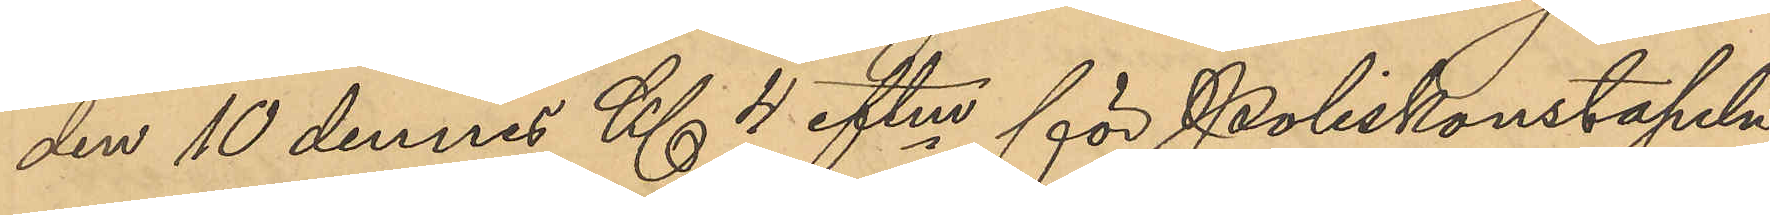den 10 dennes Kl 4 eftm för Poliskonstapeln
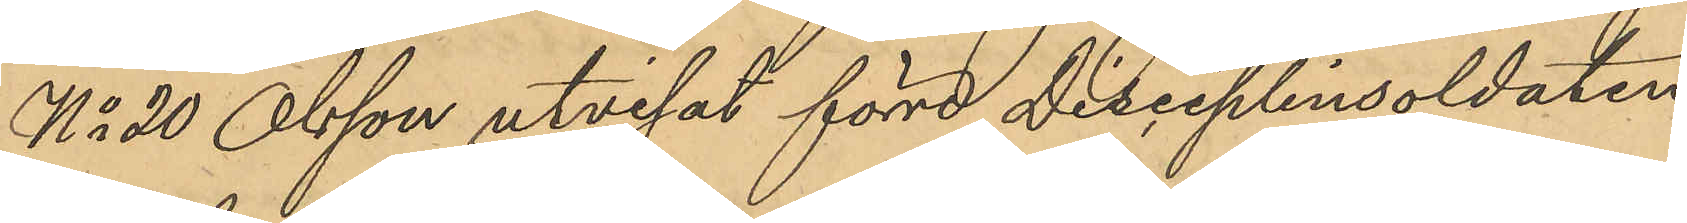No 20 Olsson utvisat förre Disciplinsoldaten
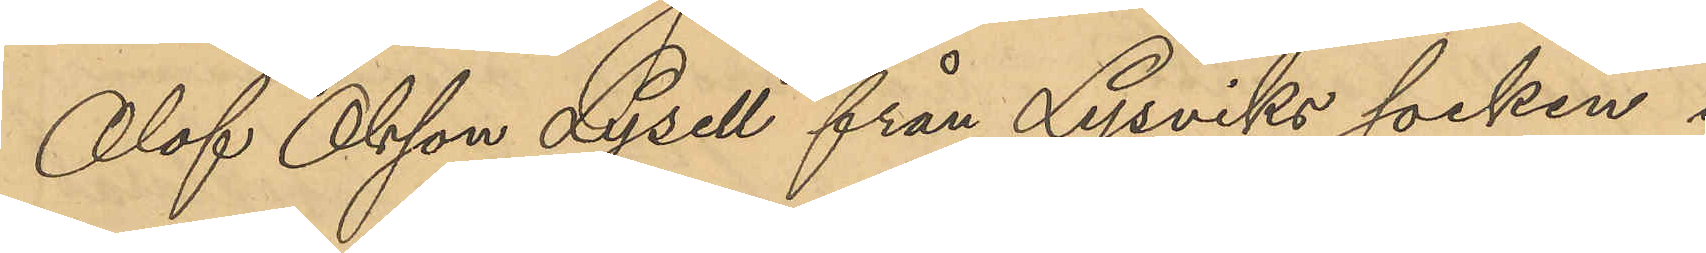Olof Olsson Lysell från Lysviks socken i
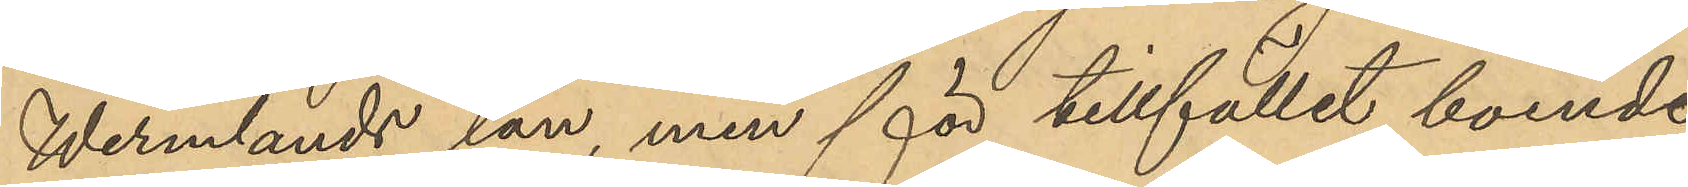Wermlands län, men för tillfället boende
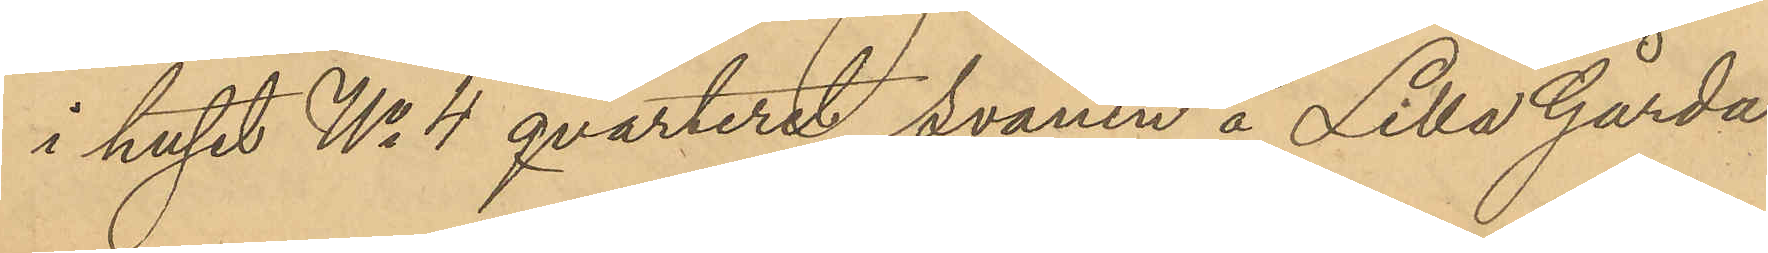i huset No 4 qvarteret "Svanen" å Lilla Gårda
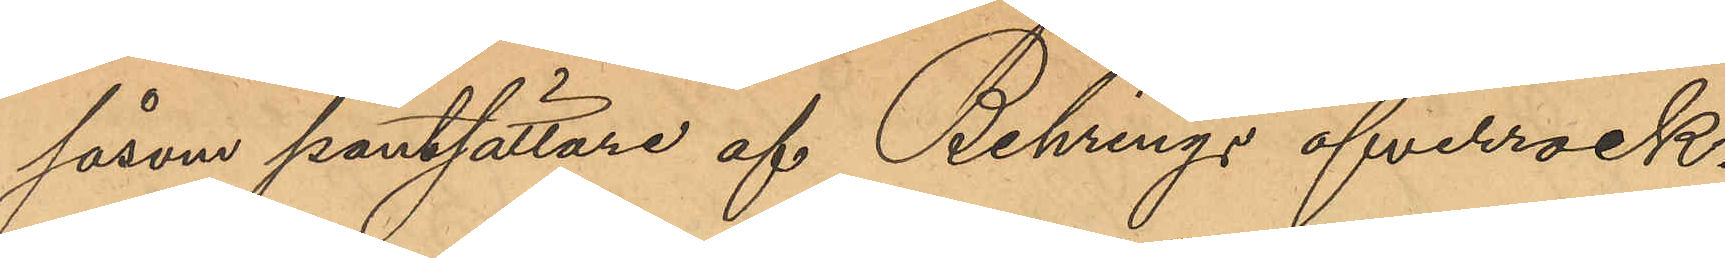såsom pantsättare af Behrings öfverrock.
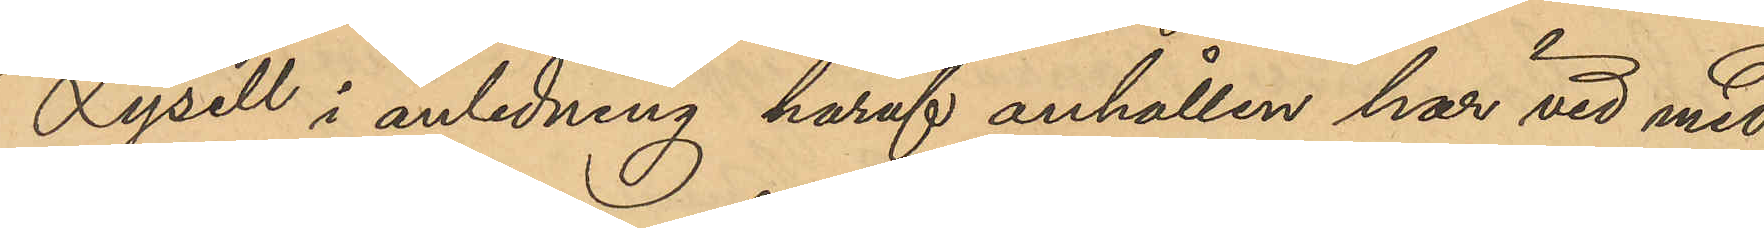Lysell i anledning häraf anhållen har vid med
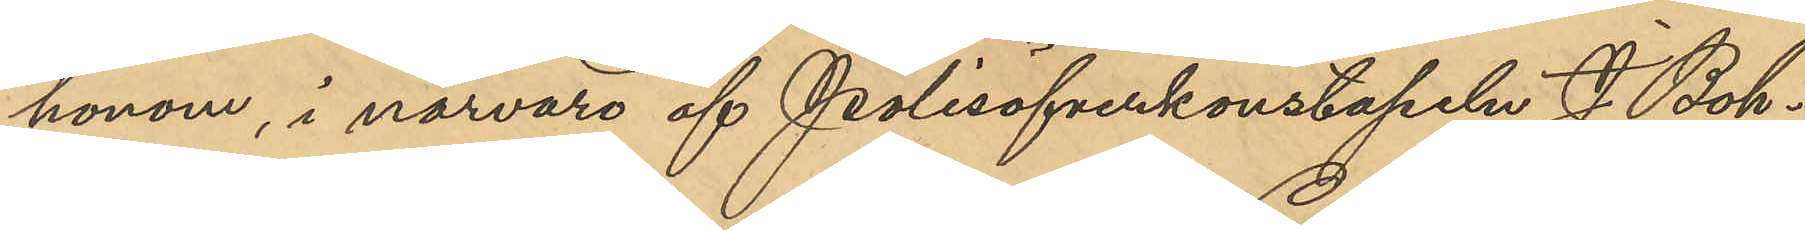honom, i närvaro af Polisöfverkonstapeln J. Boh¬
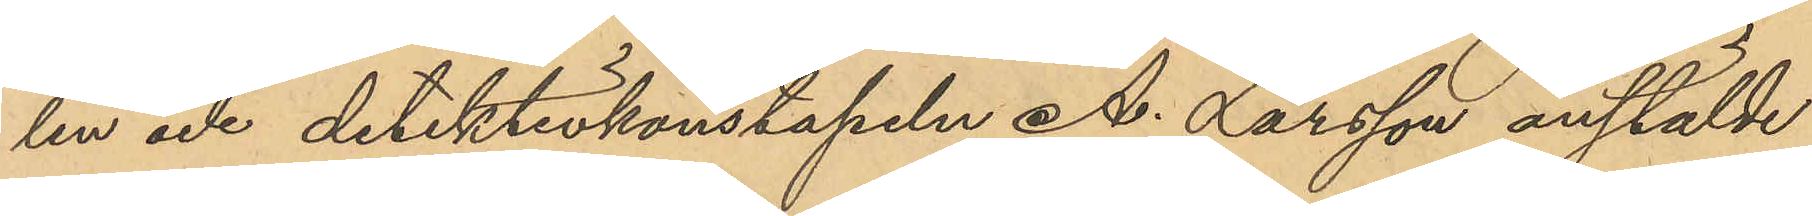lin och detektivkonstapeln A. Larsson anstälde
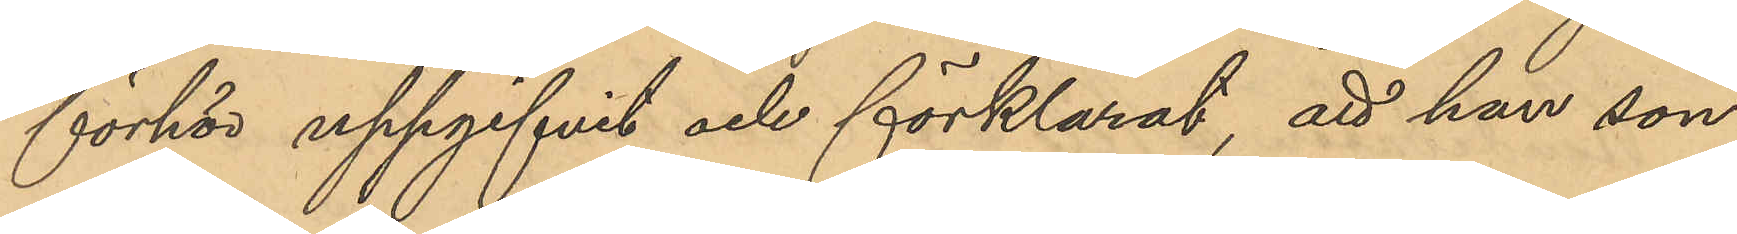förhör uppgifvit och förklarat, att han sön¬
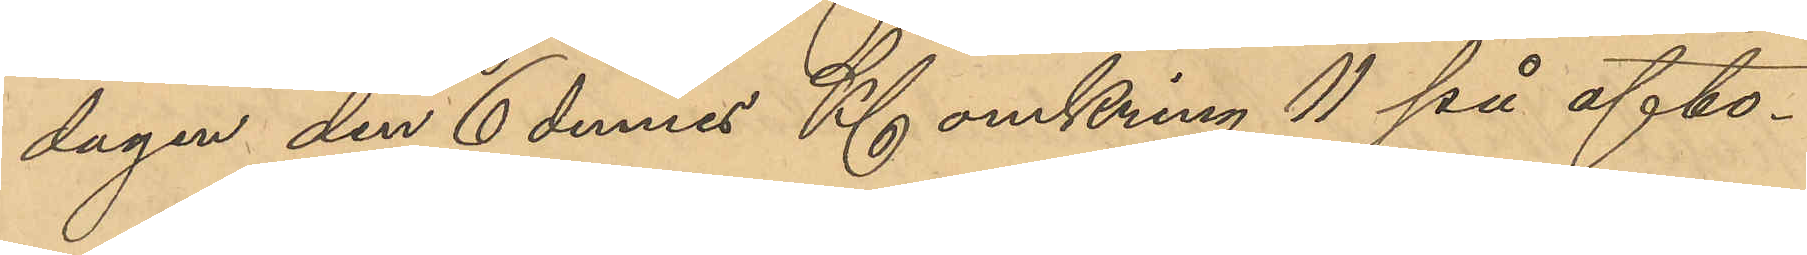dagen den 6 dennes Kl omkring 11 på afto¬
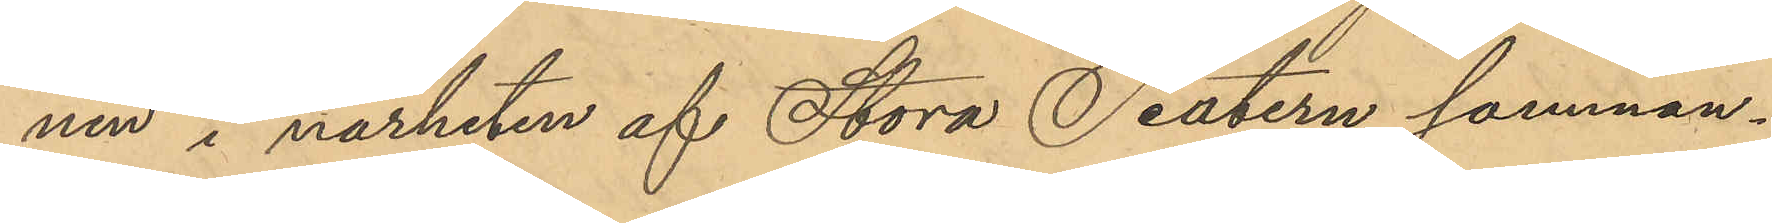nen i närheten af Stora Teatern samman¬
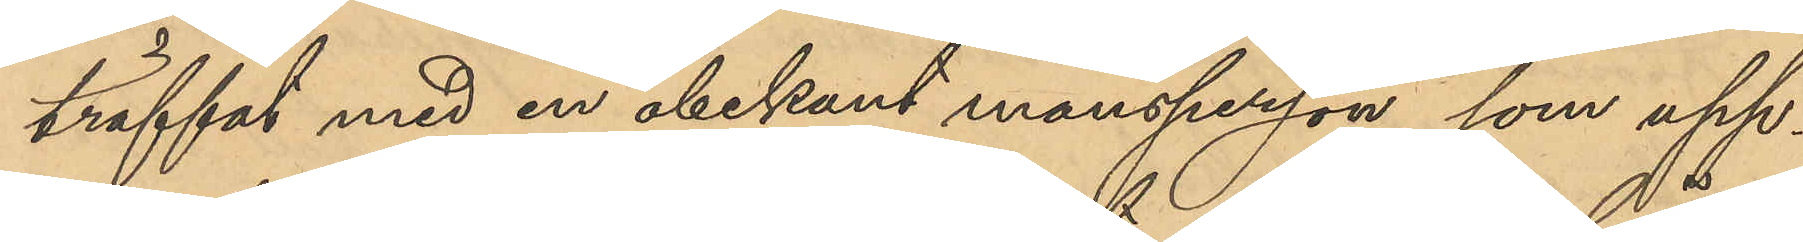träffat med en obekant mansperson, som upp¬
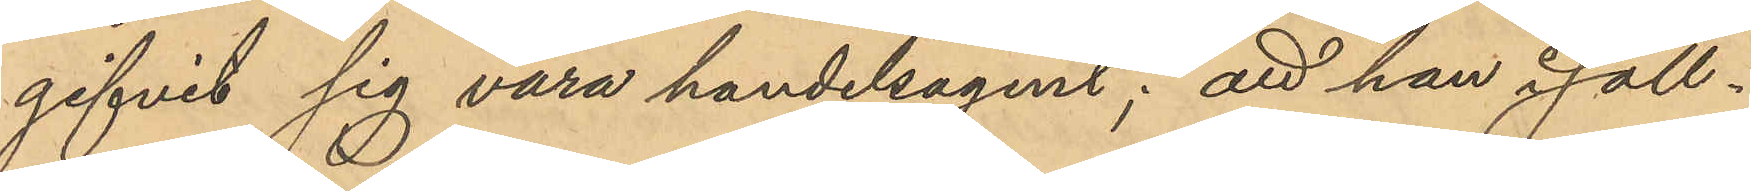gifvit sig vara handelsagent; att han i säll¬
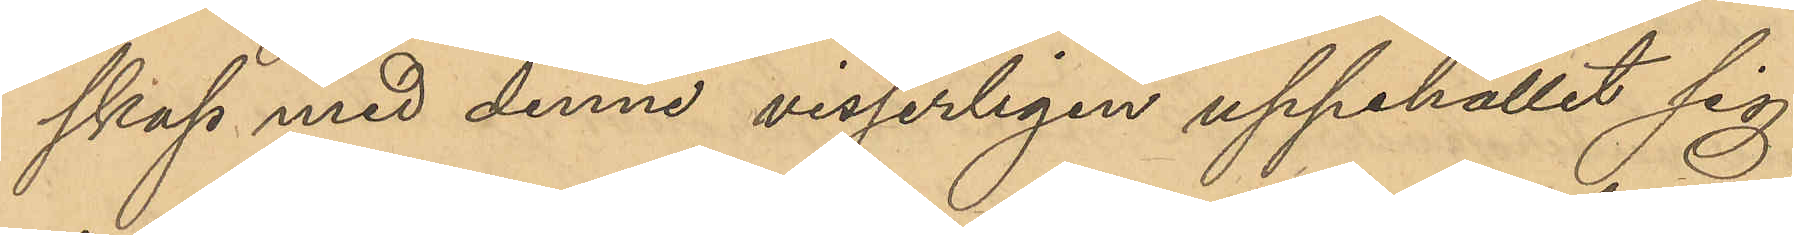skap med denne visserligen uppehållit sig
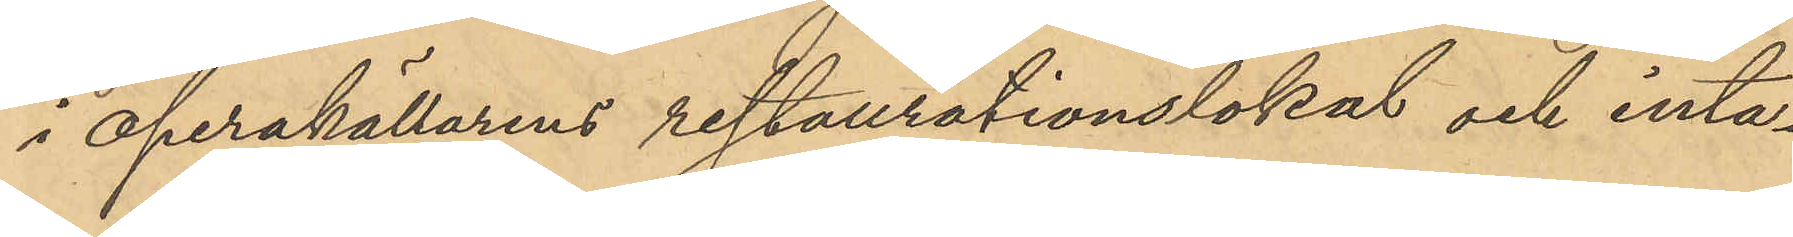i operakällarens restaurationslokal och inta¬
